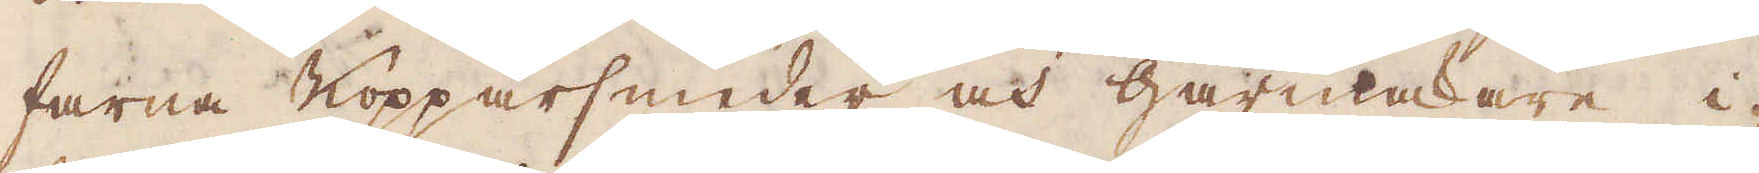farna Kopparsmeder och Gårmakare i-
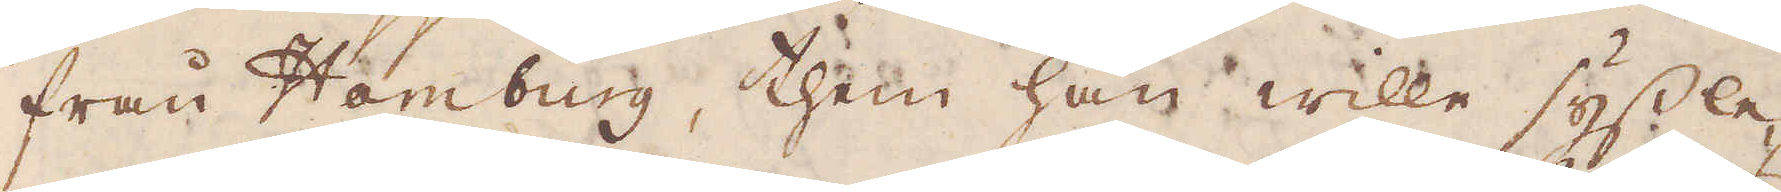från Hamburg, them han wille syssle-
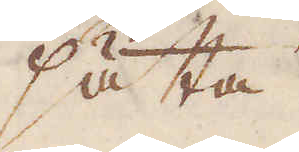sätta
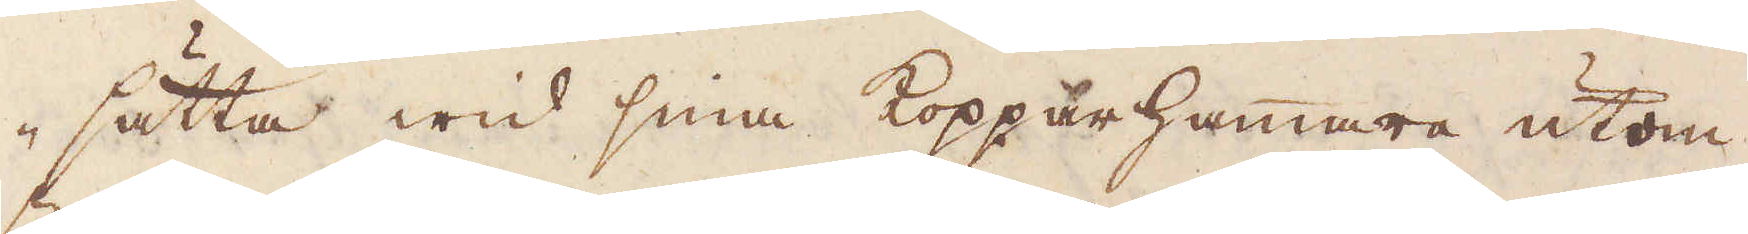sätta wid sina Kopparhammare utom
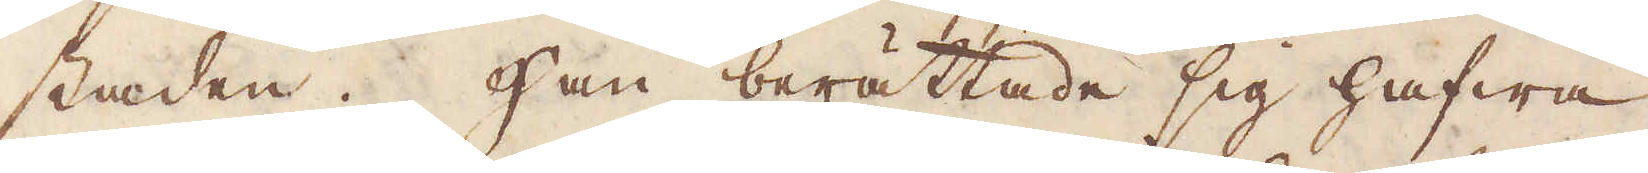staden. Han berättade sig hafwa
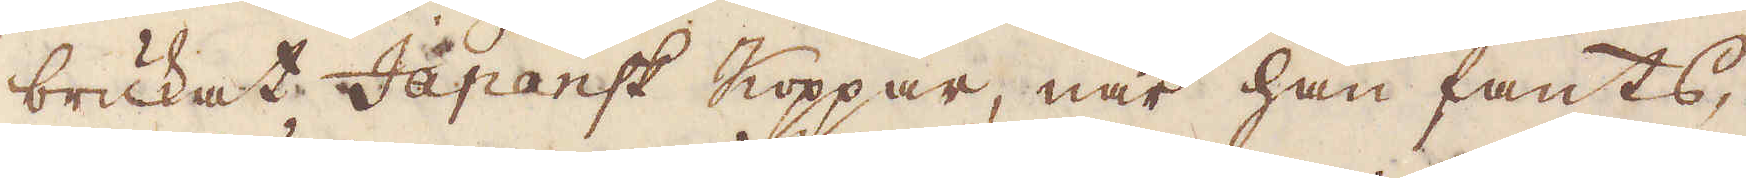brukat Japansk Koppar, när han fants,
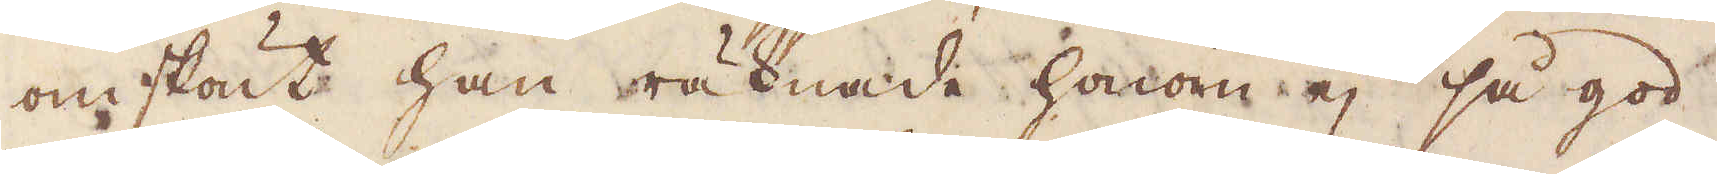omskönt han räknade honom ej så god
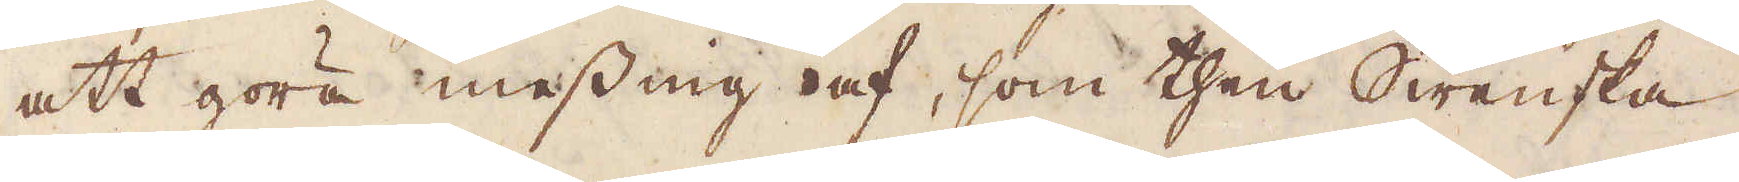att göra messing af, som then Swenska
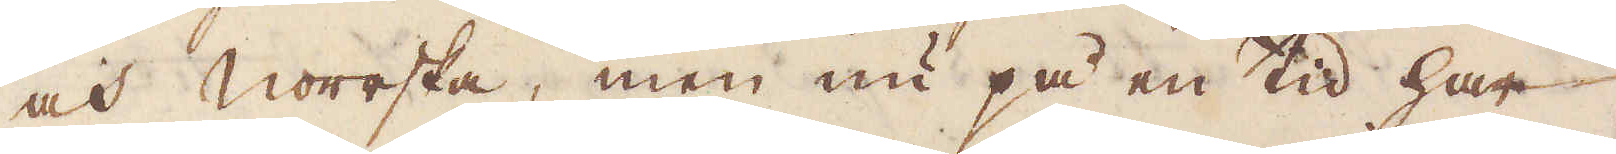och Norrska, men nu på en tid har
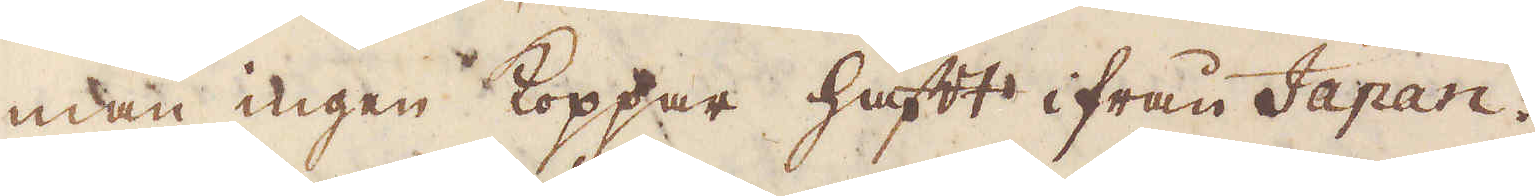man ingen Koppar haft ifrån Japan.
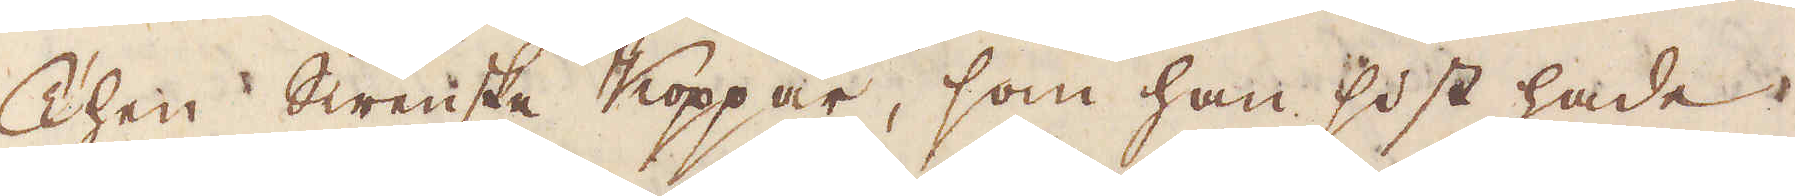Then Swenska Koppar, som han sidst hade
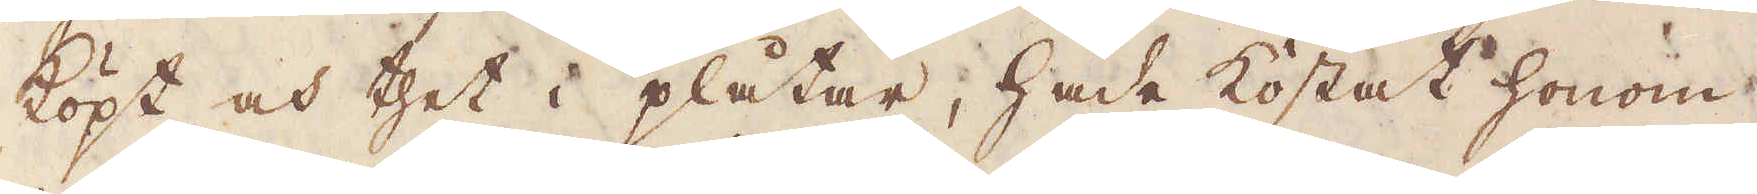köpt, och thet i plåtar, hade kostat honom
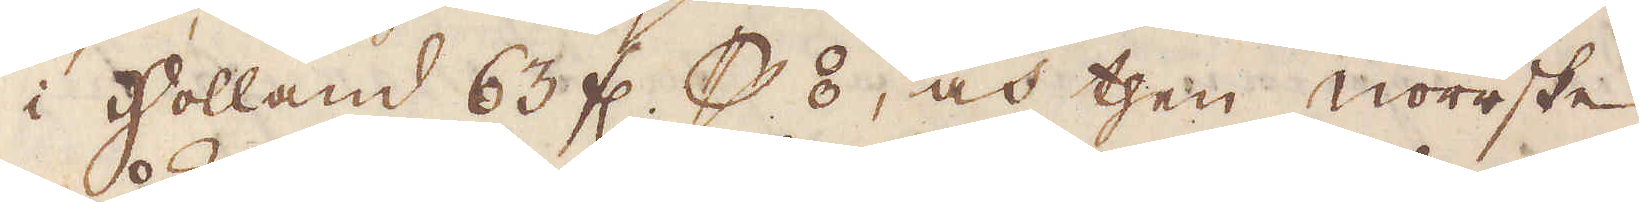i Holland 63 fl. p ⦂, och then Norrske
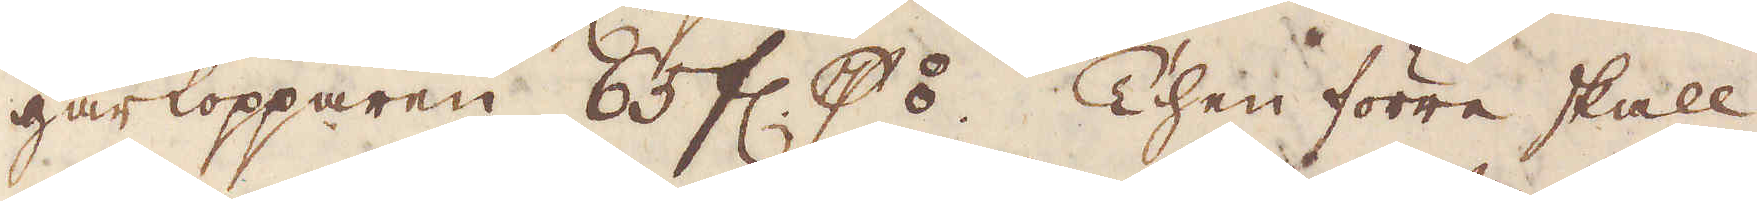gårkopparen 85 fl. p ⦂. Then förre skall
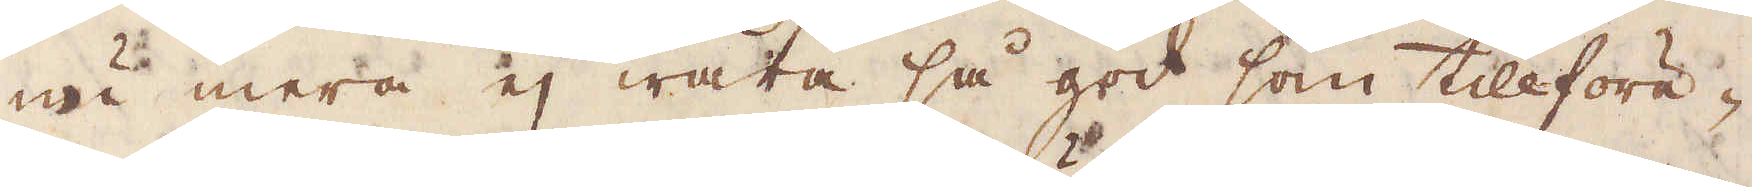nu mera ej wara så god som tillföre-
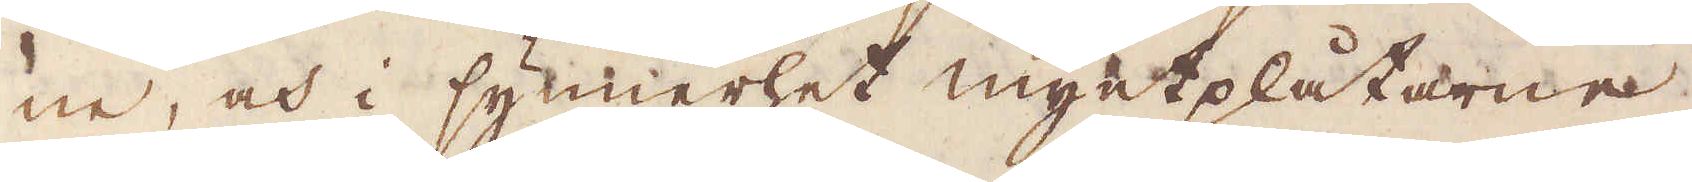ne, och i synnerhet myntplåtarne
